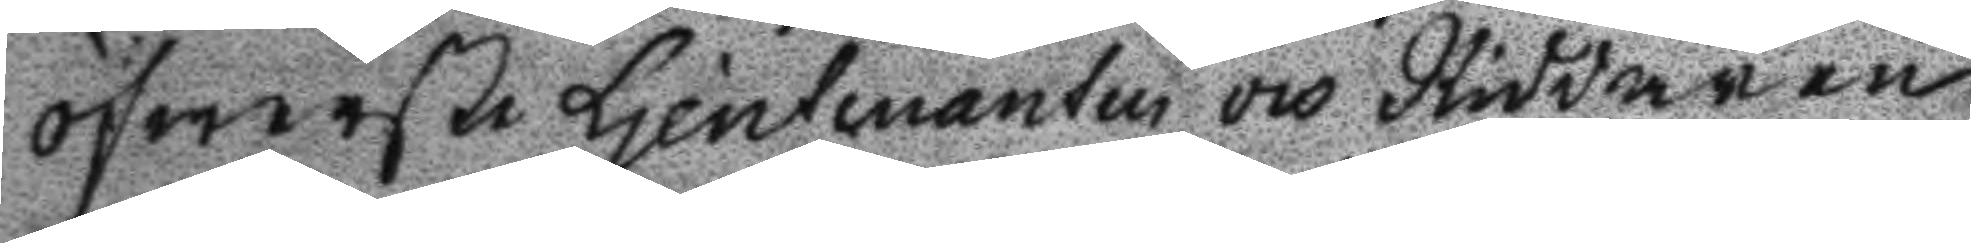öfwerste Ljeutenanten och Riddaren
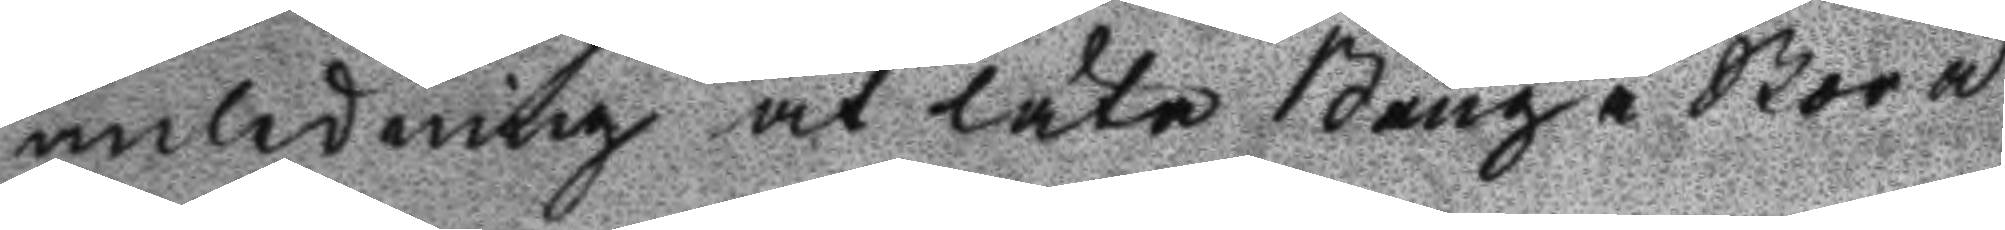anledning at låta Bång i Stora
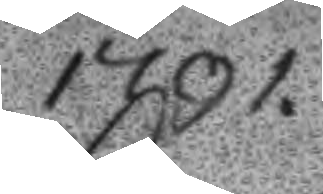1791.
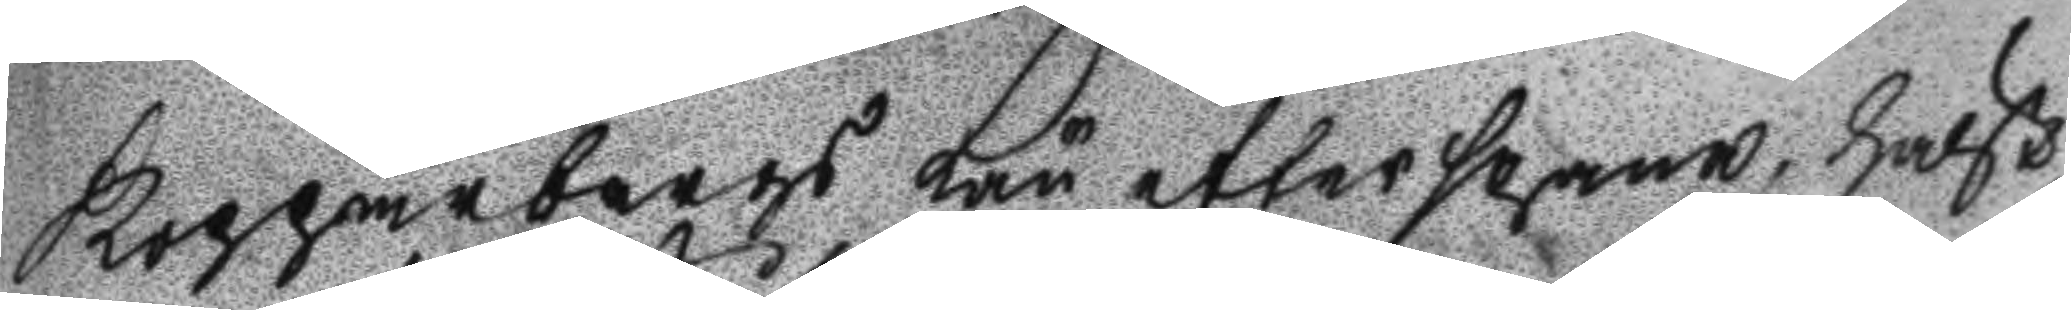Kopparbergs Län efterspana, hälst
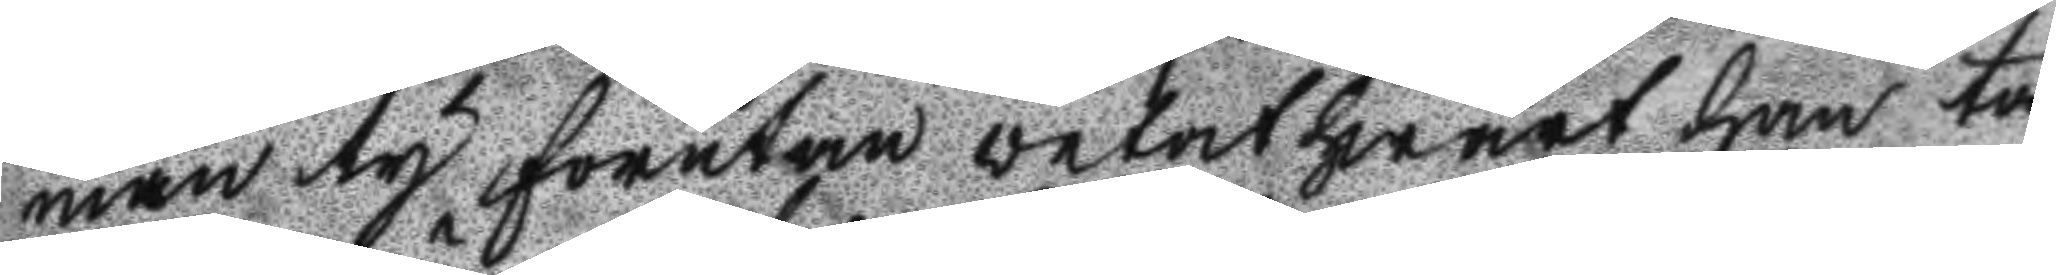man ty förutan vetat hwart han ta
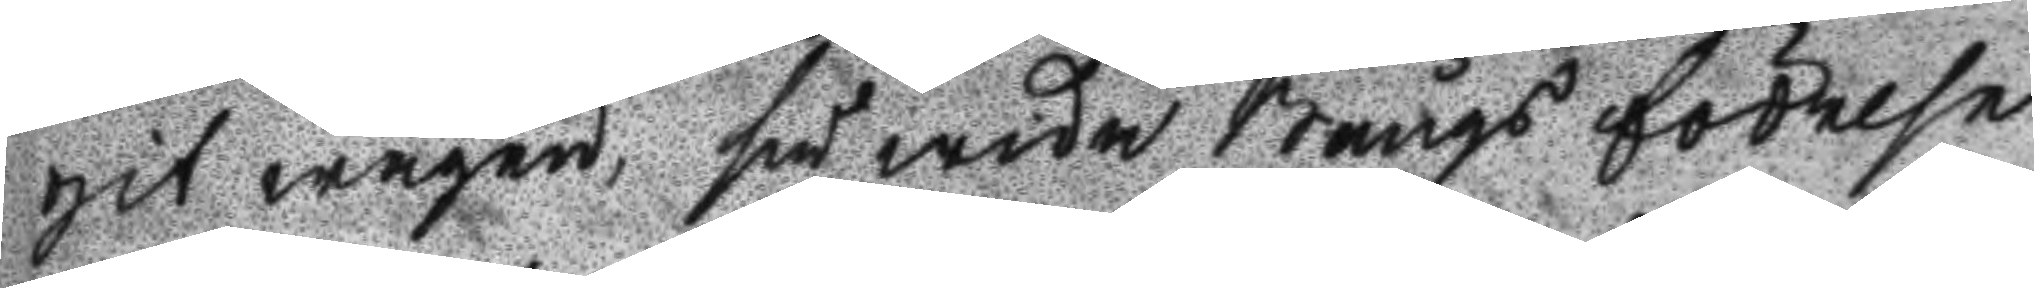git wägen, så wida Bångs födelse
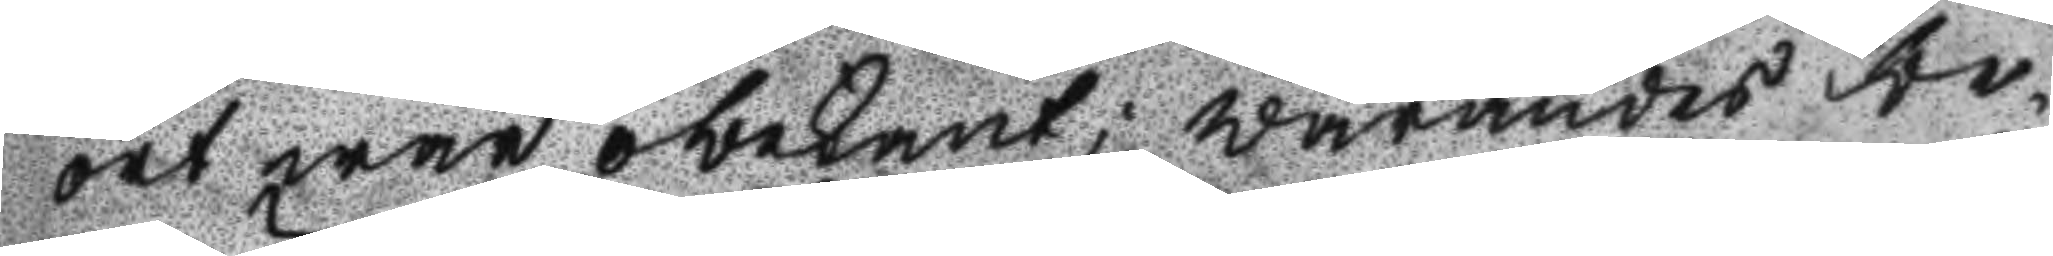ort war obekant; warandes be¬
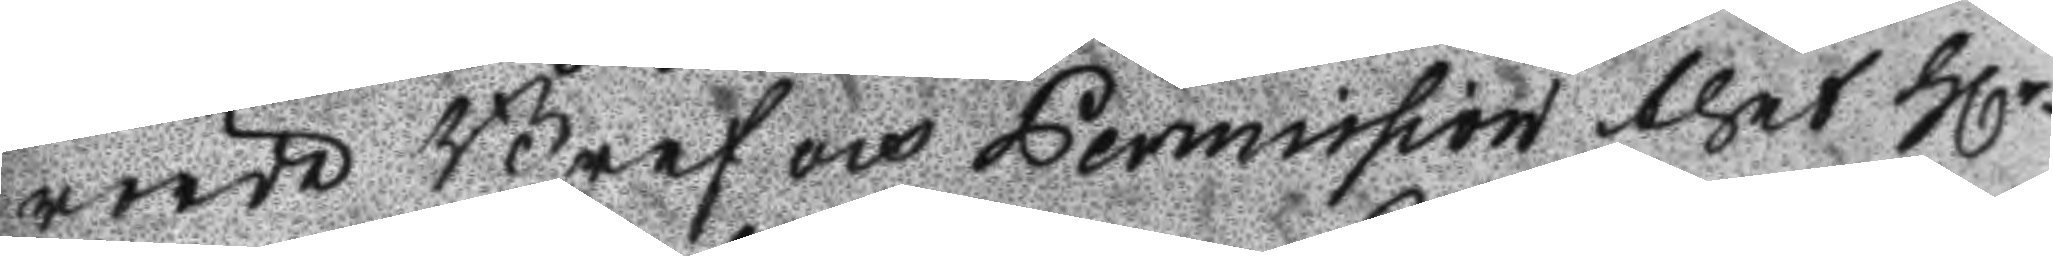rörde Bref och Permission thet Hlr
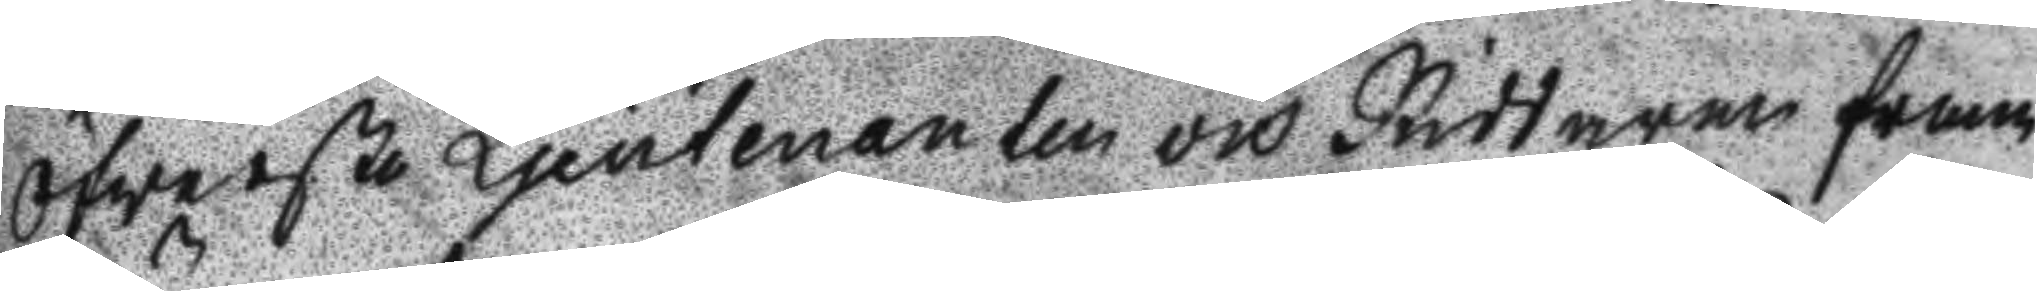Öfwerste Ljeutenanten och Riddaren fram
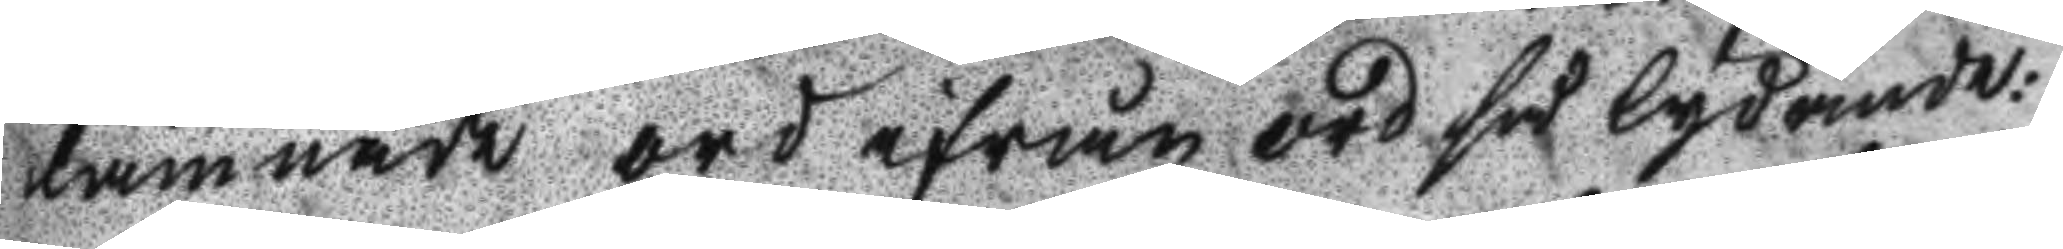lämnade ord ifrån ord så lydande:
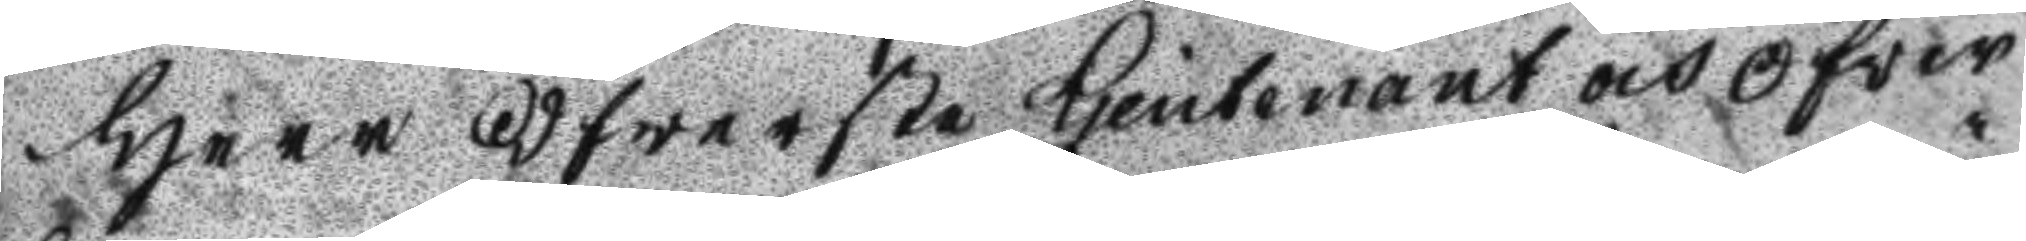herr Öfwerste Ljeutenant och Öfwer 
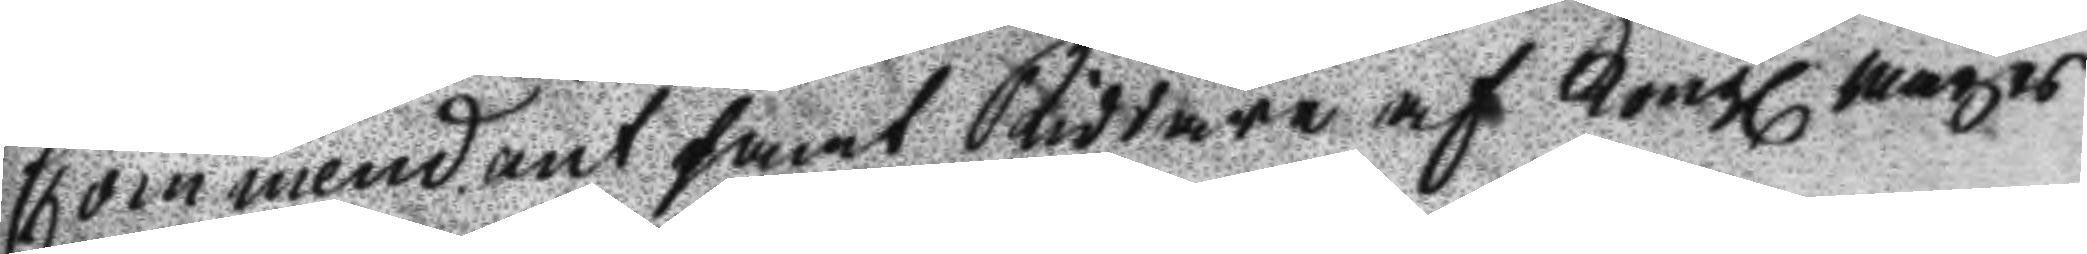Commendant samt Riddare af Kongl. Mayts
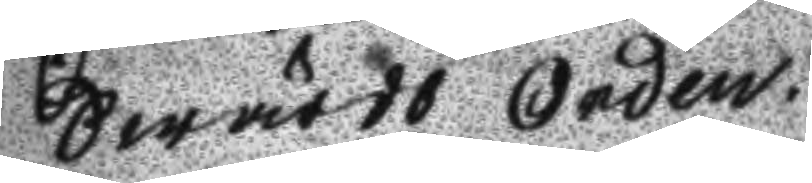Swärds orden.
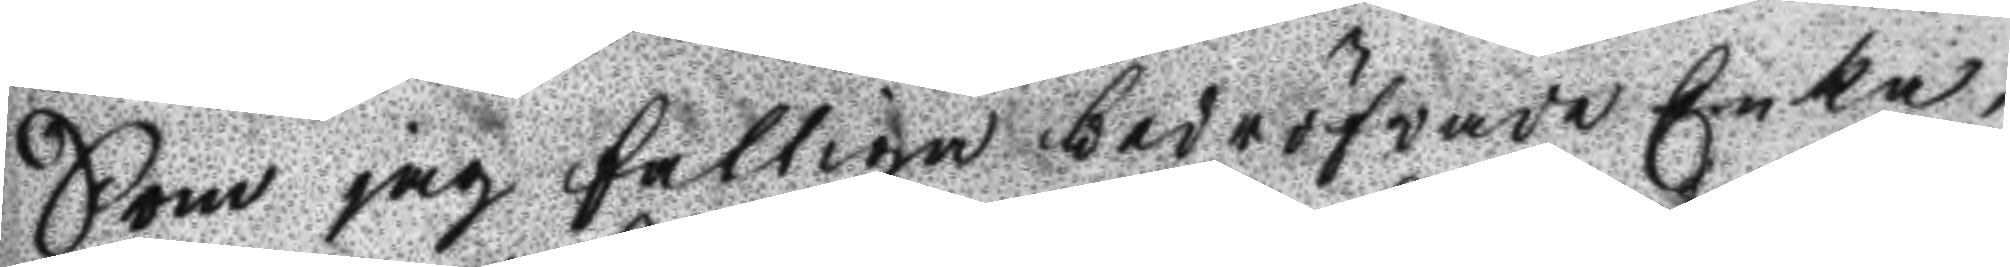Som jag fattiga bedröfwade Enka,
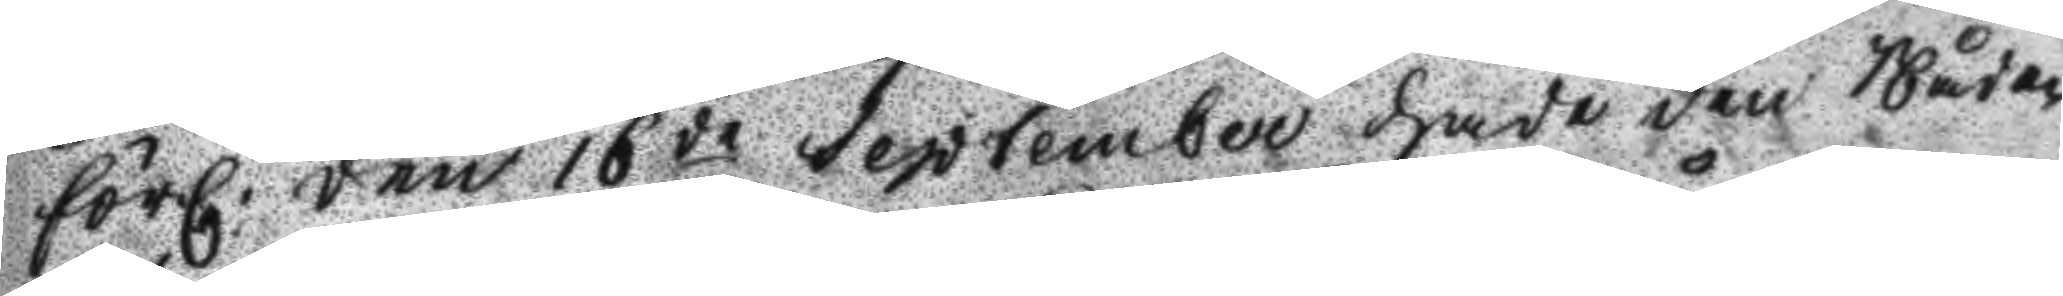förl. den 16de September hade den Nåden 
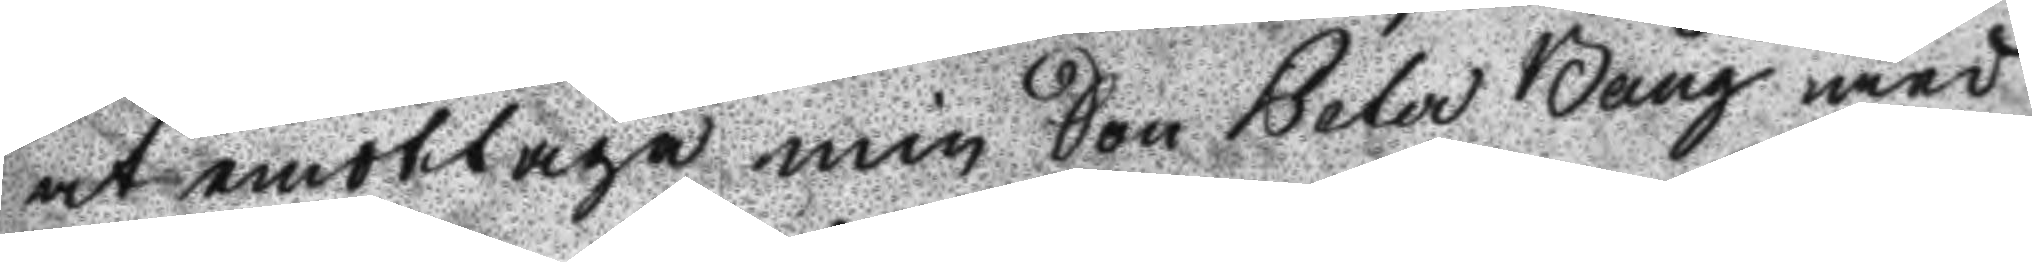at emottaga min Son Peter Bång med
